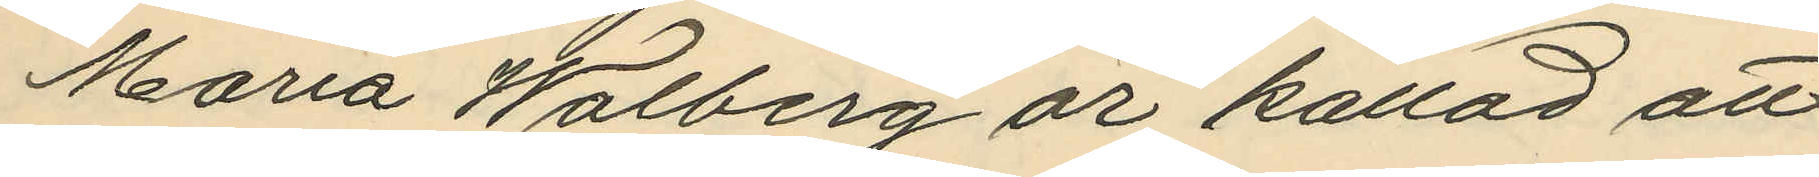Maria Walberg är kallad att
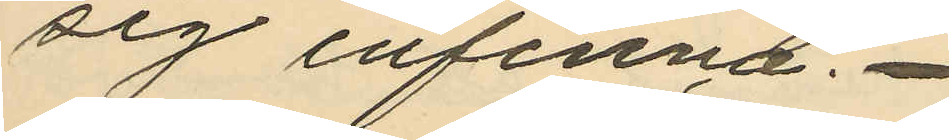sig infinna.
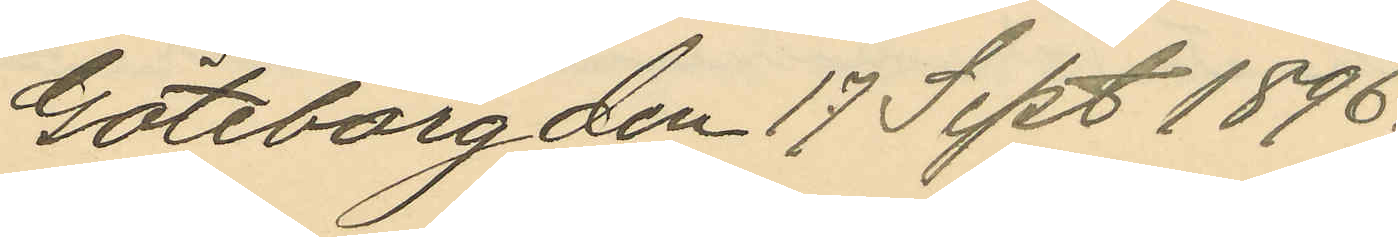Göteborg den 17 Sept 1896.
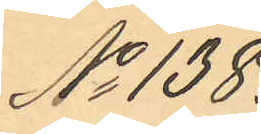No 138.
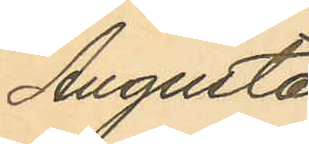Augusta
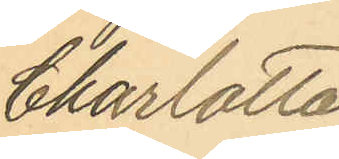Charlotta
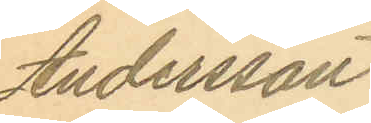Andersson
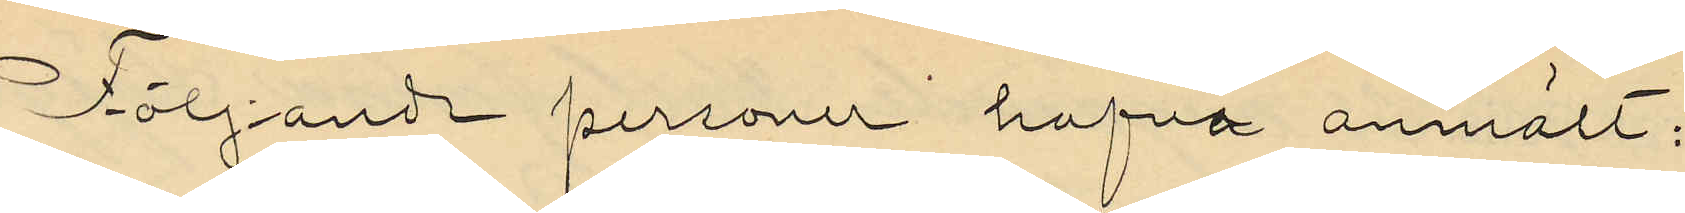Följande personer hafva anmält:
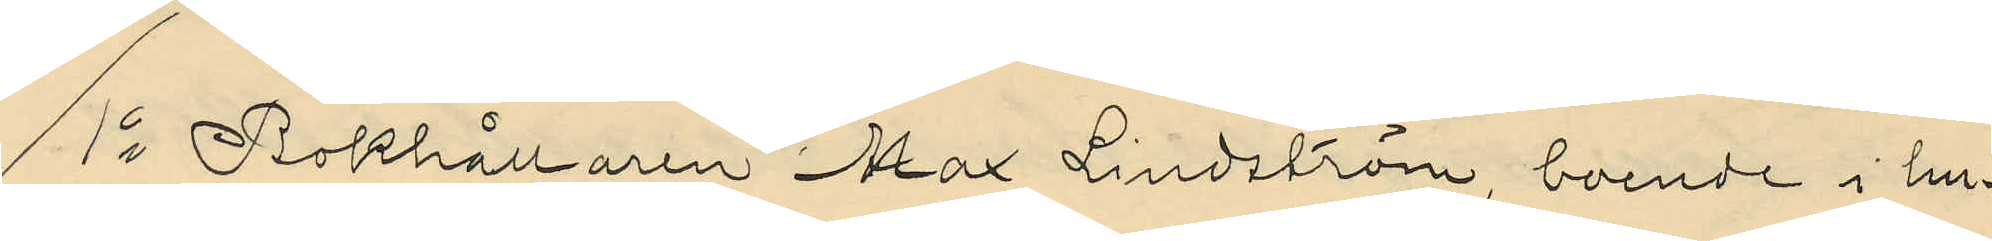1o Bokhållaren Max Lindström, boende i hu¬
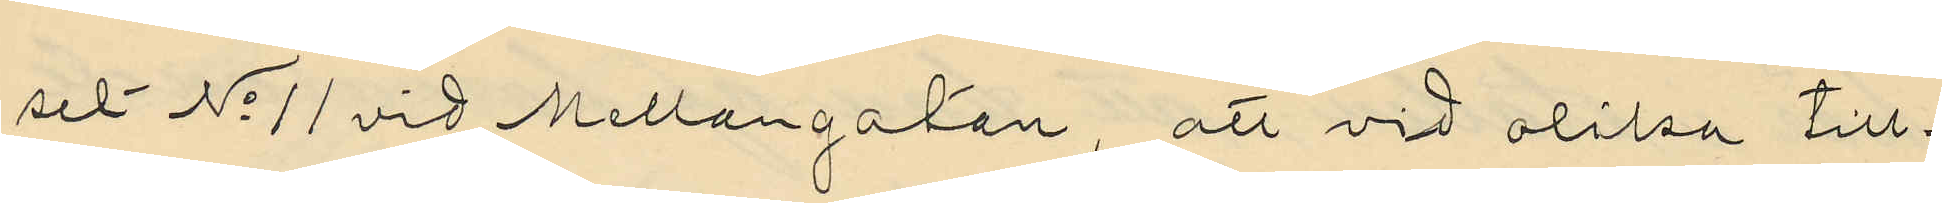set No 11 vid Mellangatan, att vid olika till¬
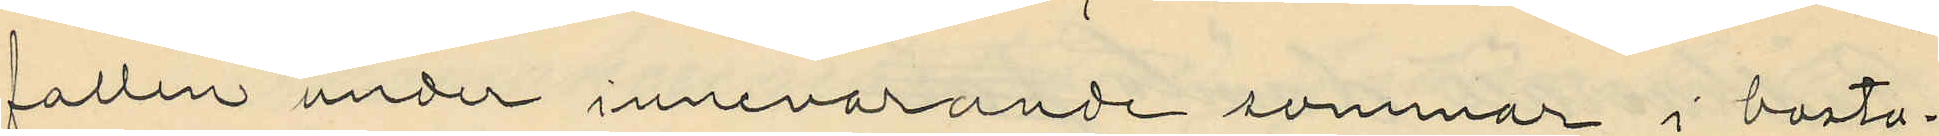fallen under innevarande sommar i bosta¬
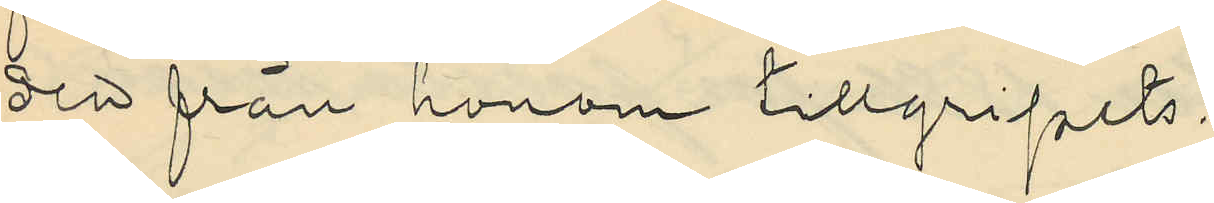den från honom tillgripits:
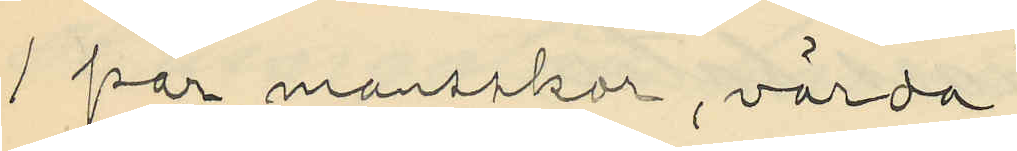1 par mansskor, värda
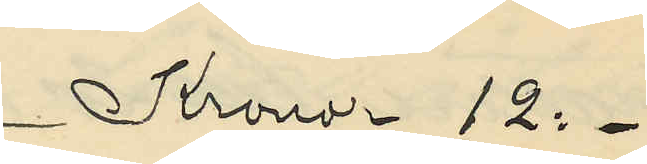Kronor 12:-
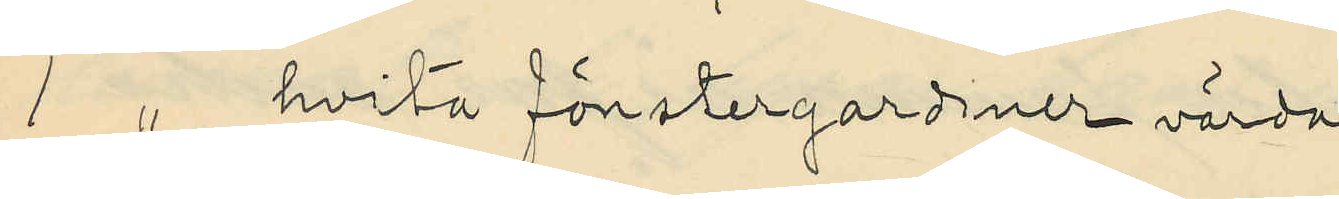1 " hvita fönstergardiner värda
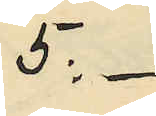5:-
